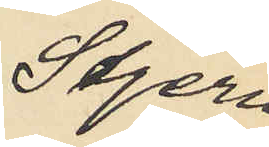Stjern¬
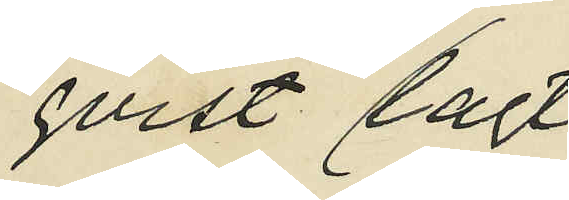qvist lagt
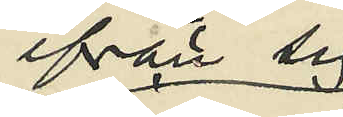ifrån sig
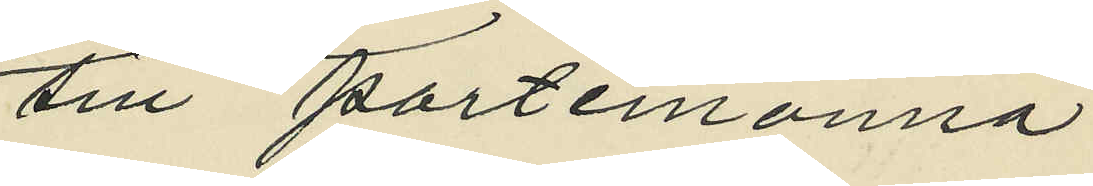sin portemonnä
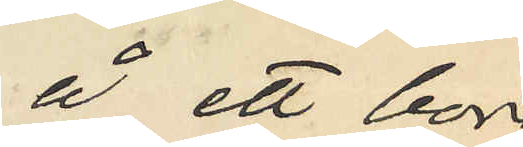å ett bord
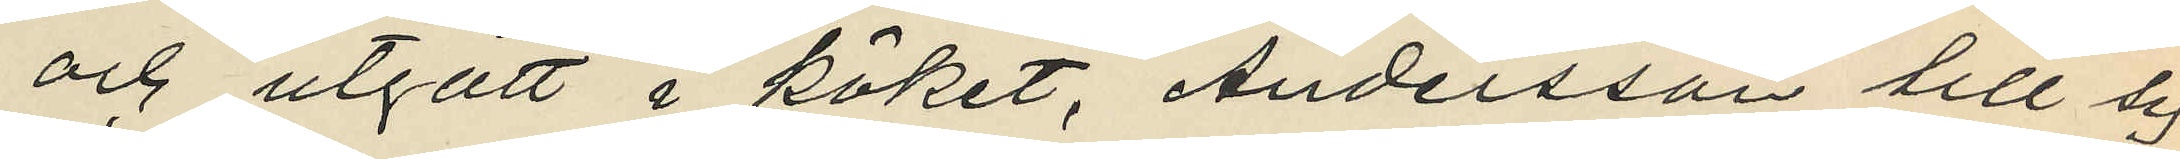och utgått i köket, Andersson till sig
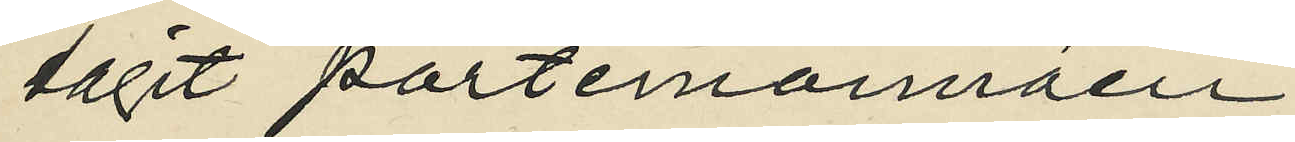tagit portemonnäen
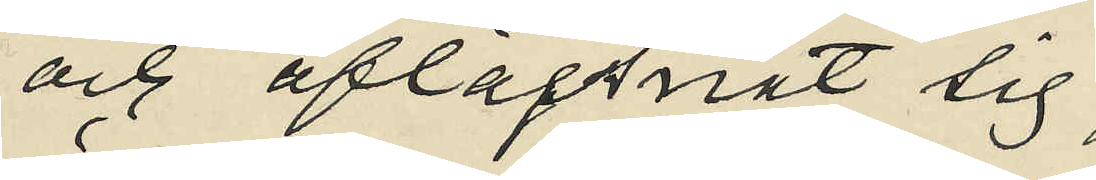och aflägsnat sig;
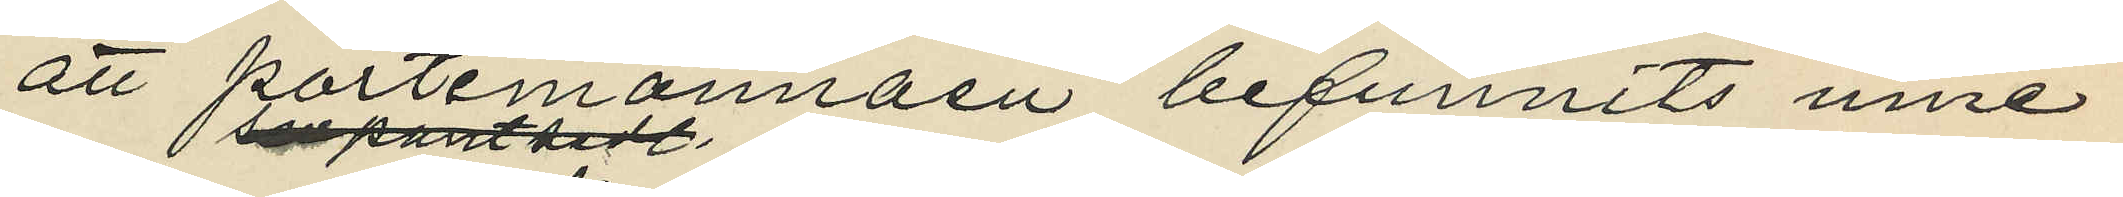att portemonnäen befunnits inne¬
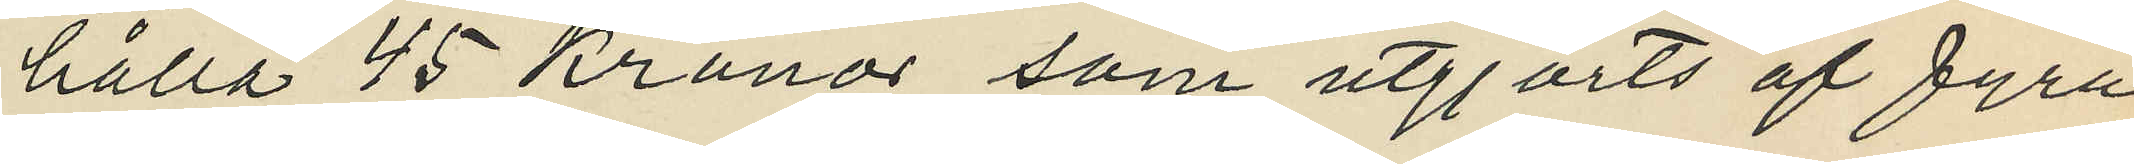hålla 45 Kronor som utgjorts af fyra
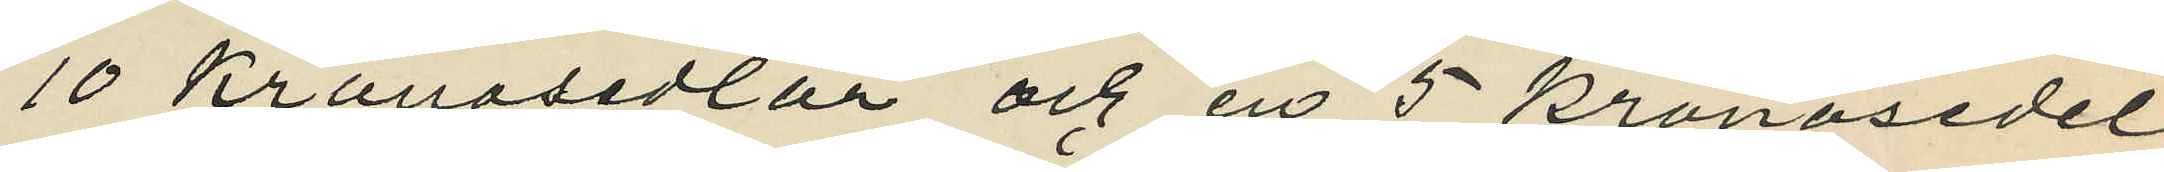10 Kronosedlar och en 5 kronosedel
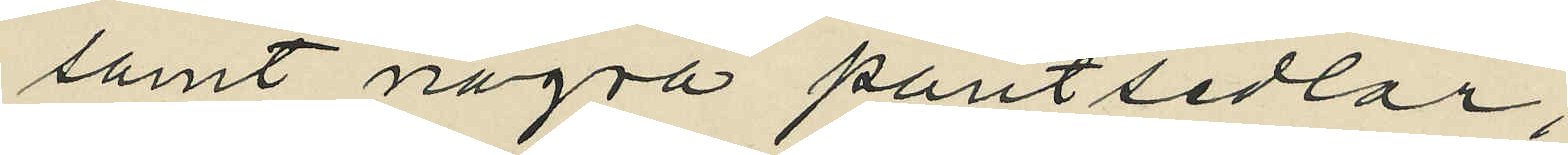samt några pantsedlar;
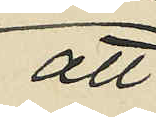att
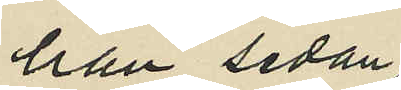han sedan
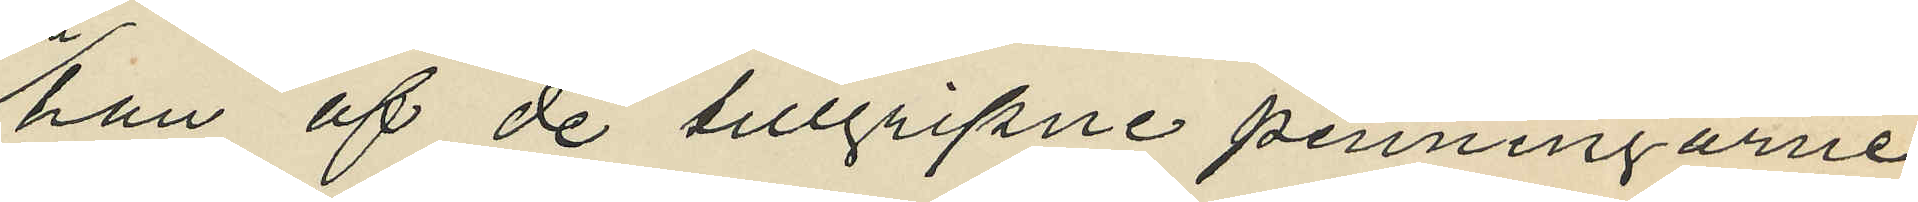han af de tillgripne penningarne
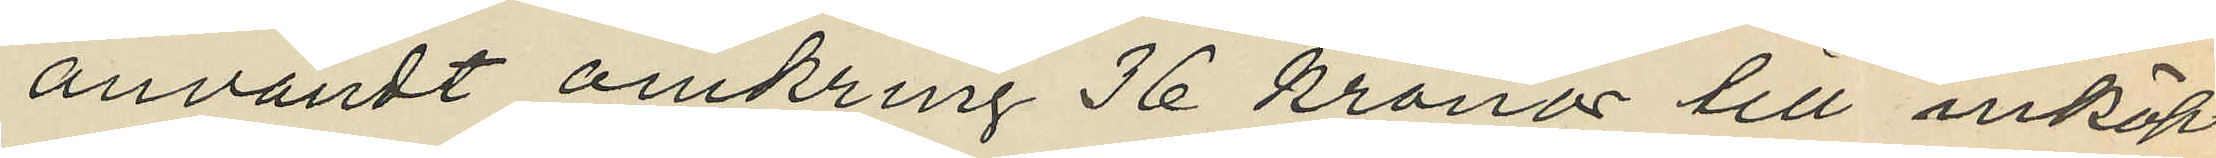användt omkring 36 kronor till inköp
